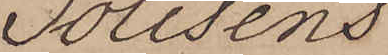Polisens
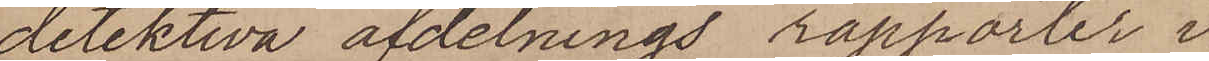detektiva afdelnings rapporter i
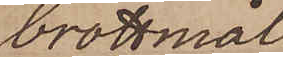brottmål
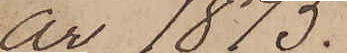år 1875.
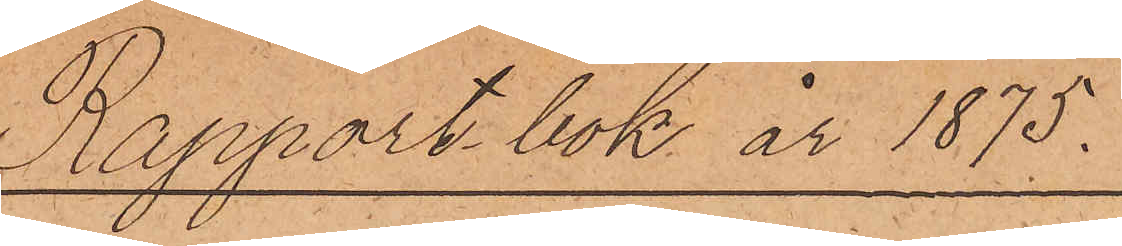Rapport bok år 1875.
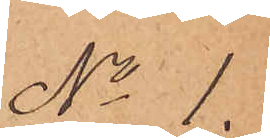No 1.
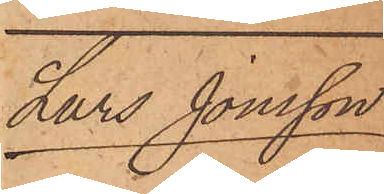Lars Jonsson
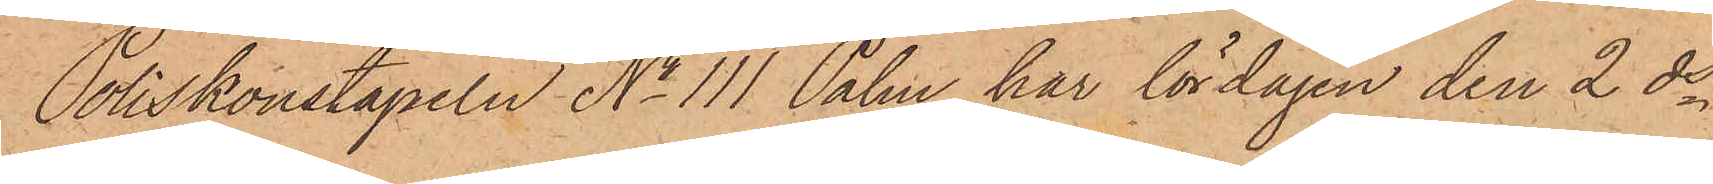Poliskonstapeln No 111 Palm har lördagen den 2 ds
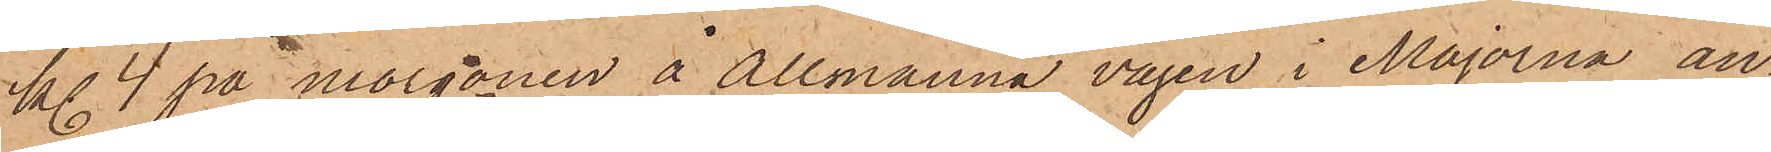kl. 4 på morgonen å Allmänna vägen i Majorna an¬
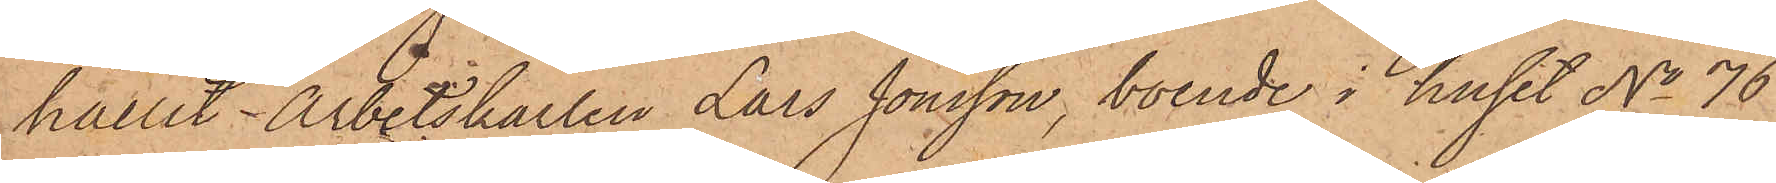hållit Arbetskarlen Lars Jonsson, boende i huset No 76
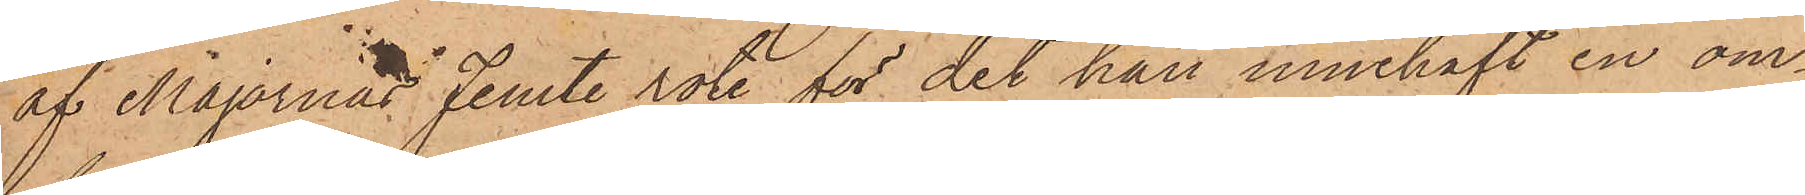af Majornas Femte rote, för det han innehaft en om¬
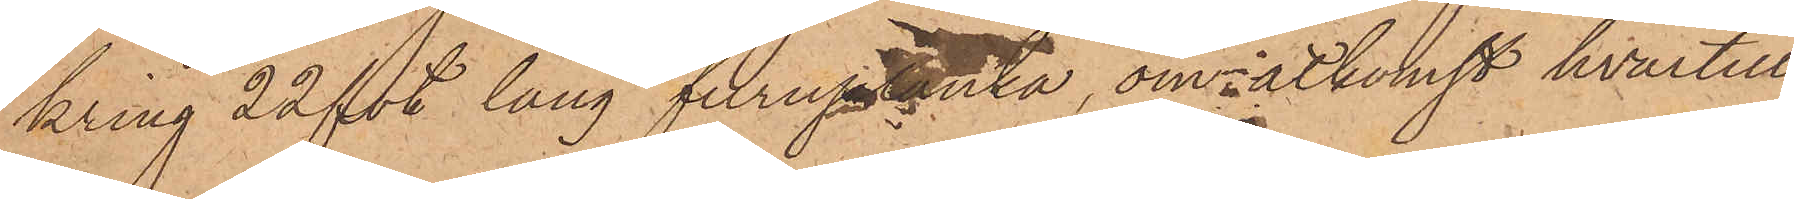kring 22 fot lång furuplanka, om åtkomst hvartill
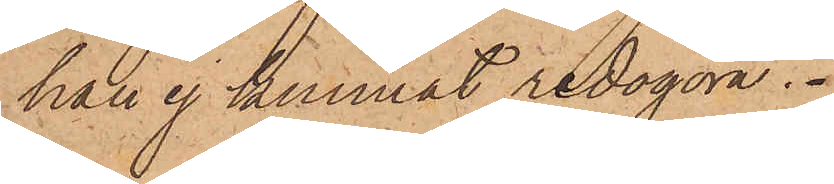han ej kunnat redogöra.
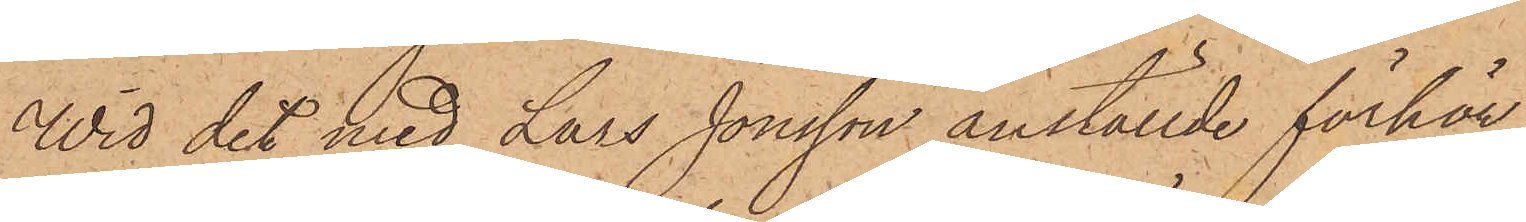Wid det med Lars Jonsson anställde förhör
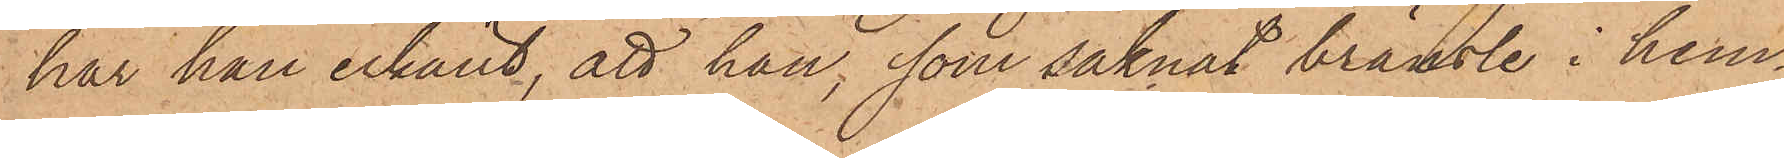har han erkänt, att han, som saknat bränsle i hem¬
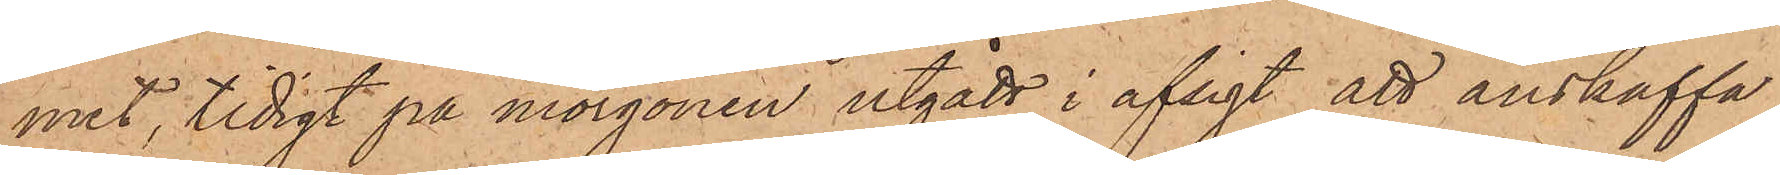met, tidigt på morgonen utgått i afsigt att anskaffa
